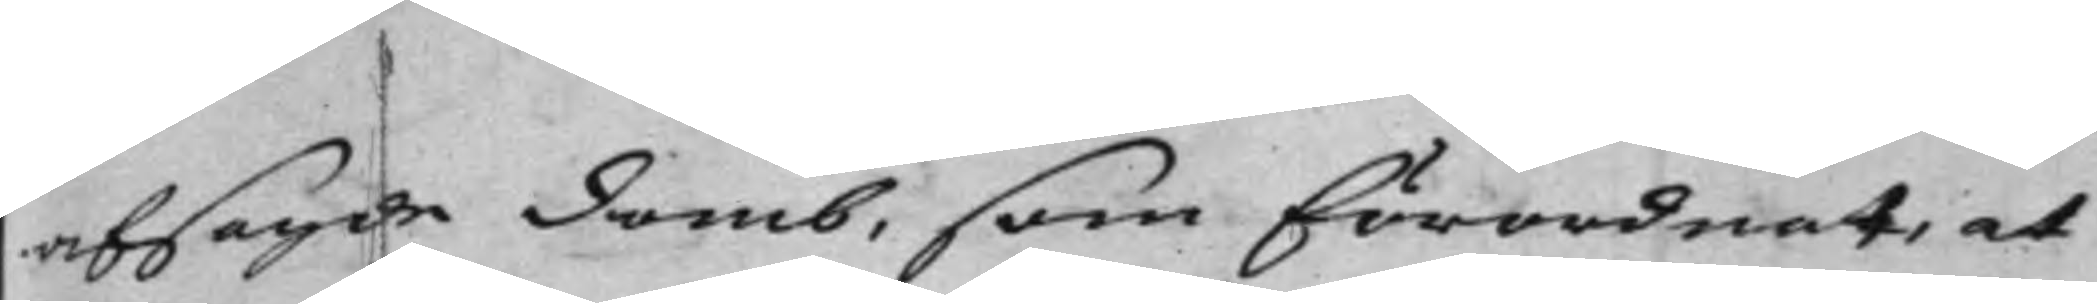afsagde Domb, som förordnat, at
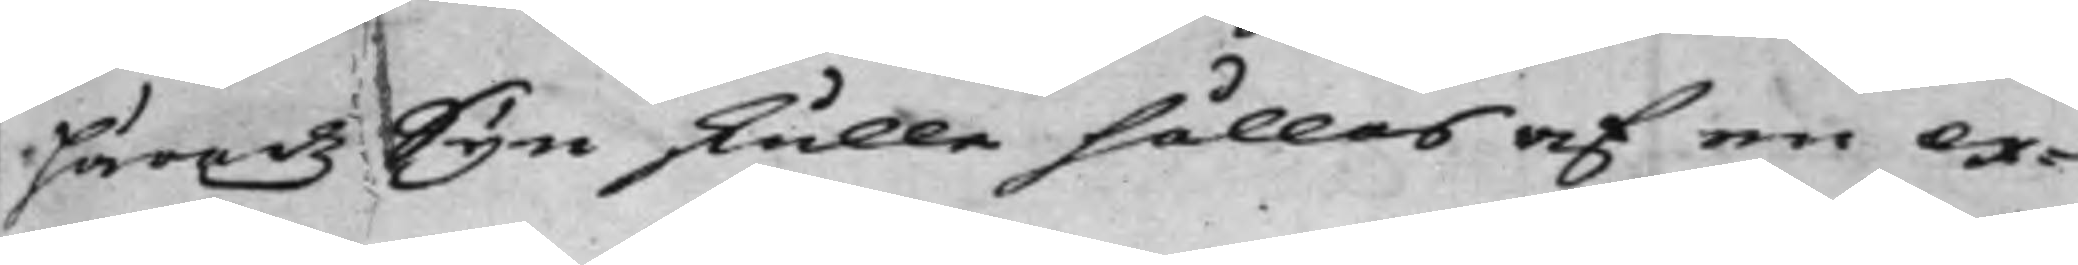Häradz Syn skulle hållas af en ex¬
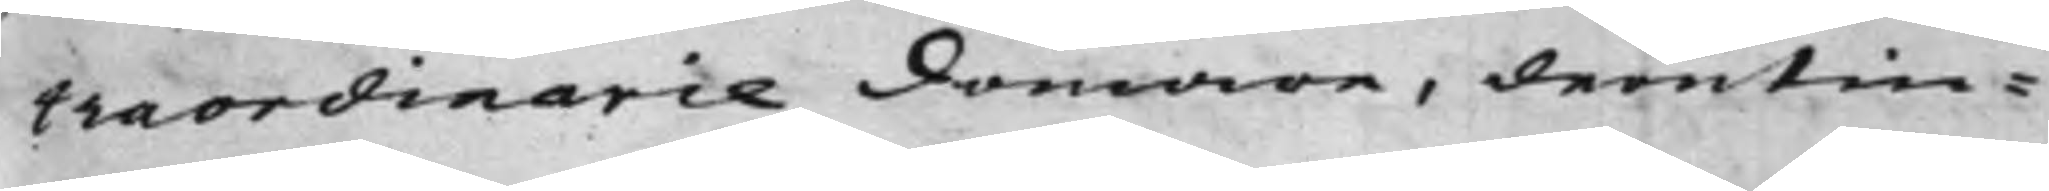traordinarie Domare, derutin¬
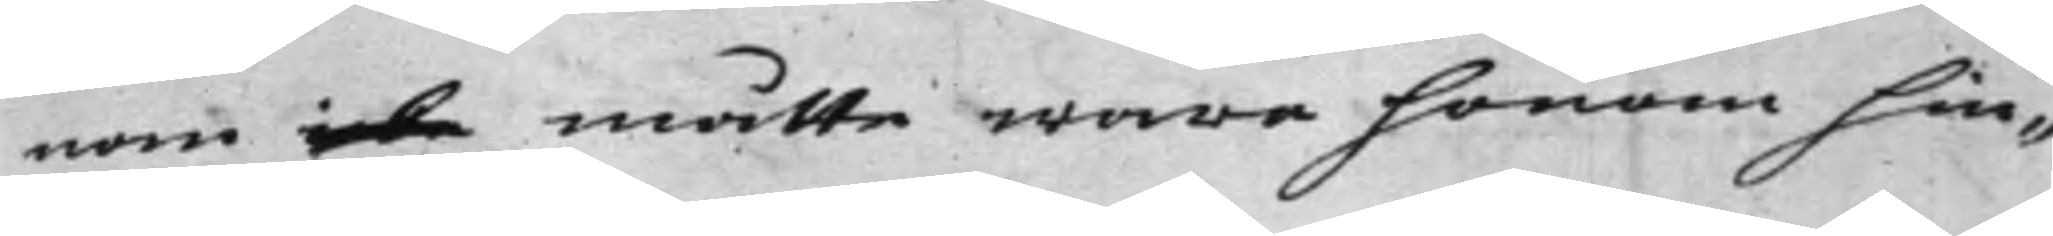nan icke måtte wara honom hin¬
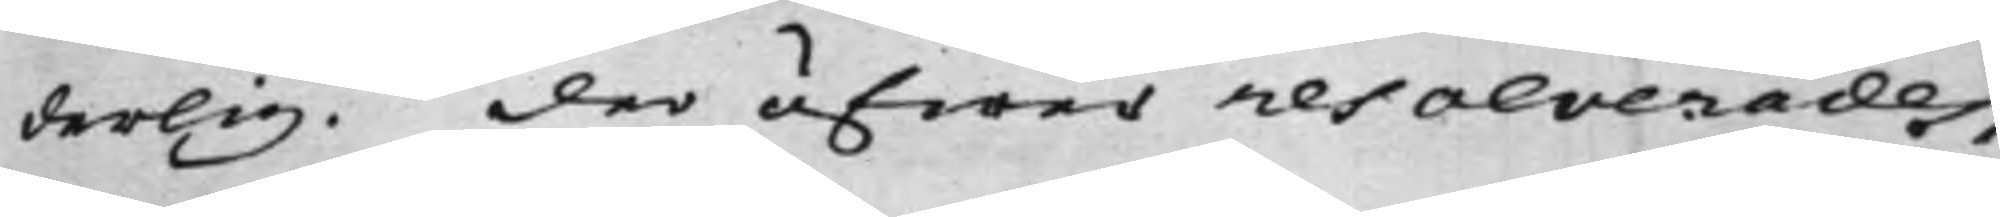derlig. Der öfwer resolverades,
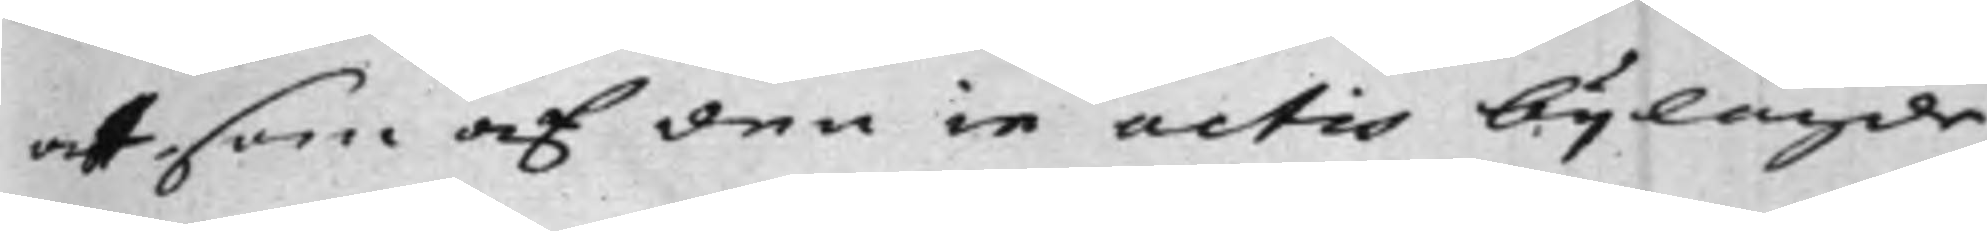at som af den in actis bijlagde
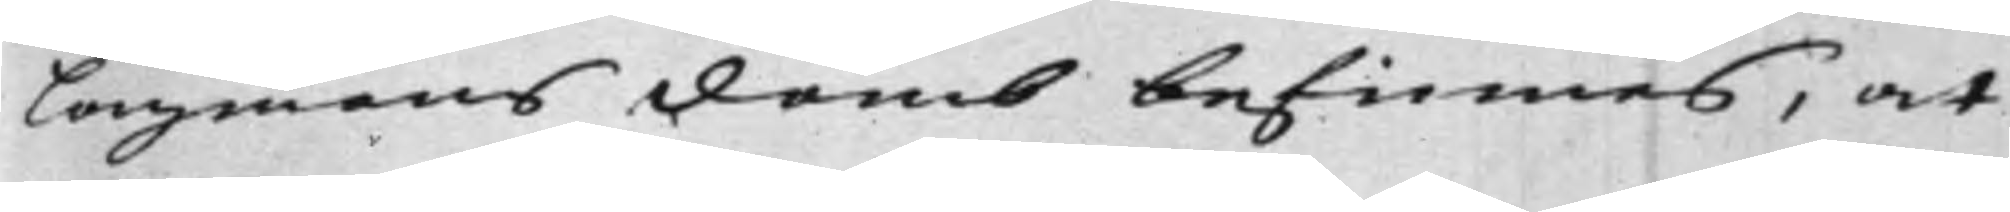Lagmans Domb befinnes, at
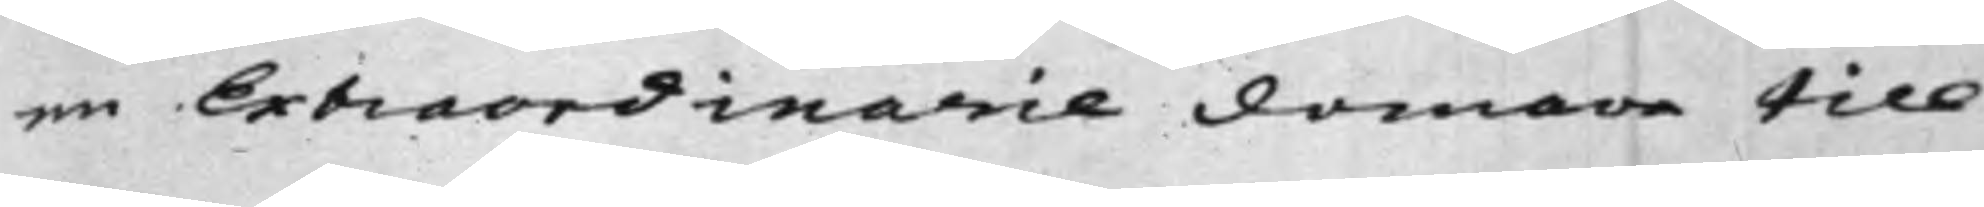en Extraordinarie Domare till
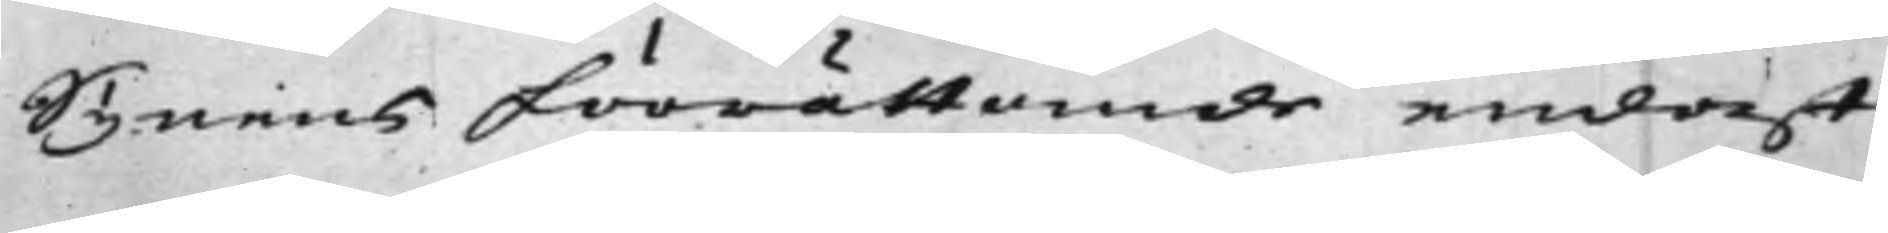Synens förrättande endast
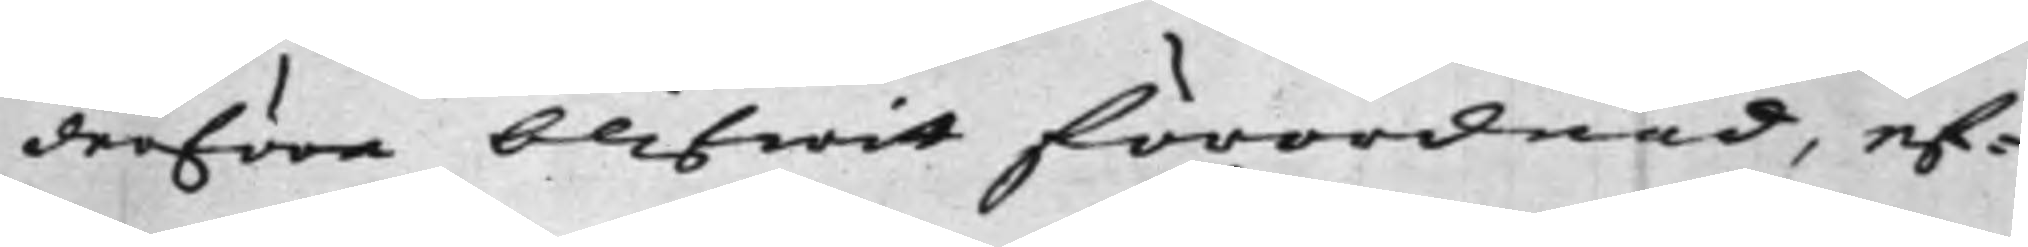derföre blifwit förordnad, ef¬
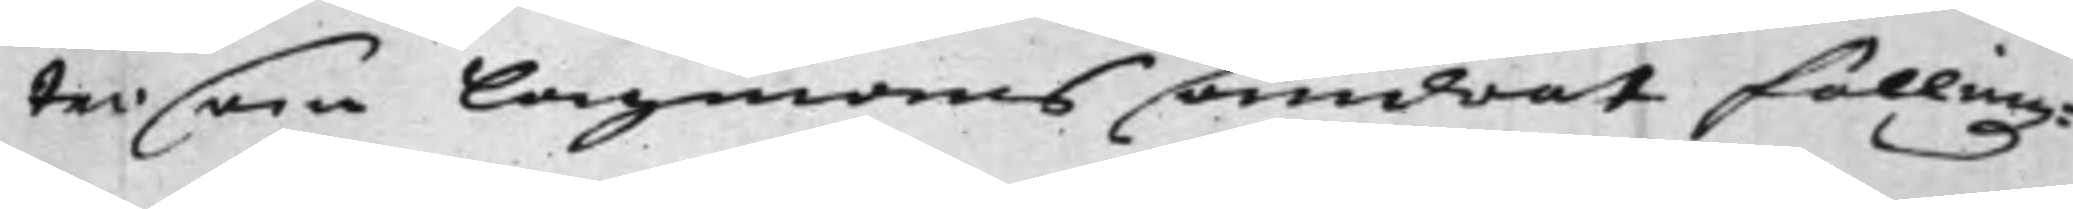tersom Lagmans ändrat Fällingz¬
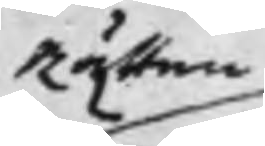Rätten
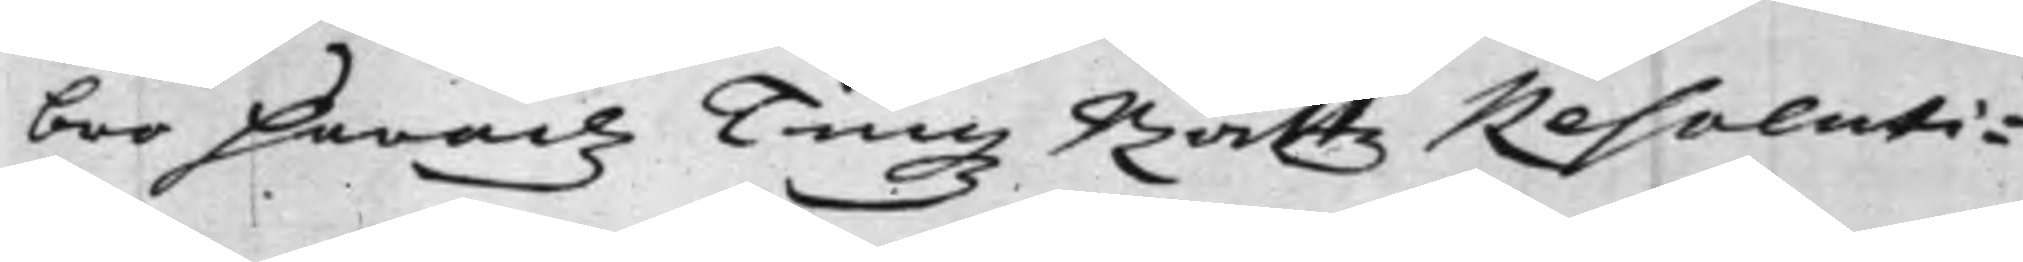bro Häradz Tingz Rättz Resoluti¬
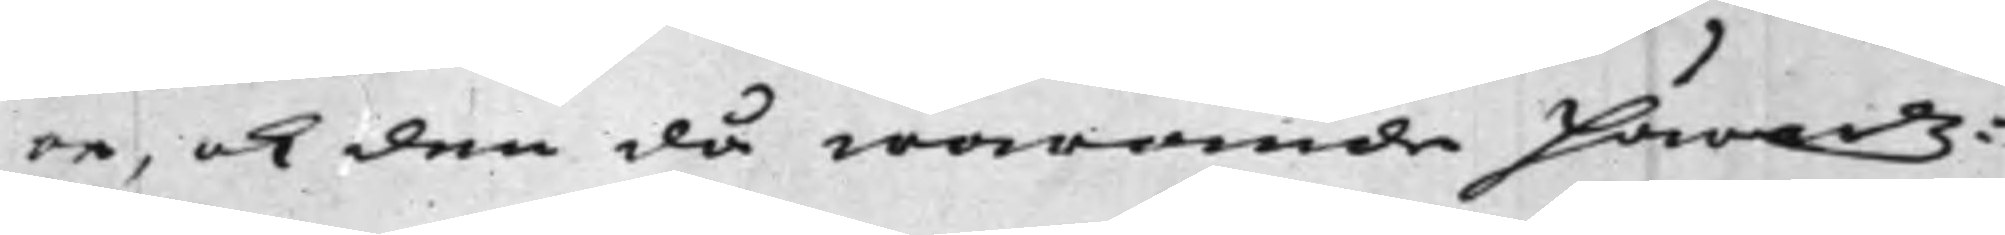on, och den då warande Häradz¬
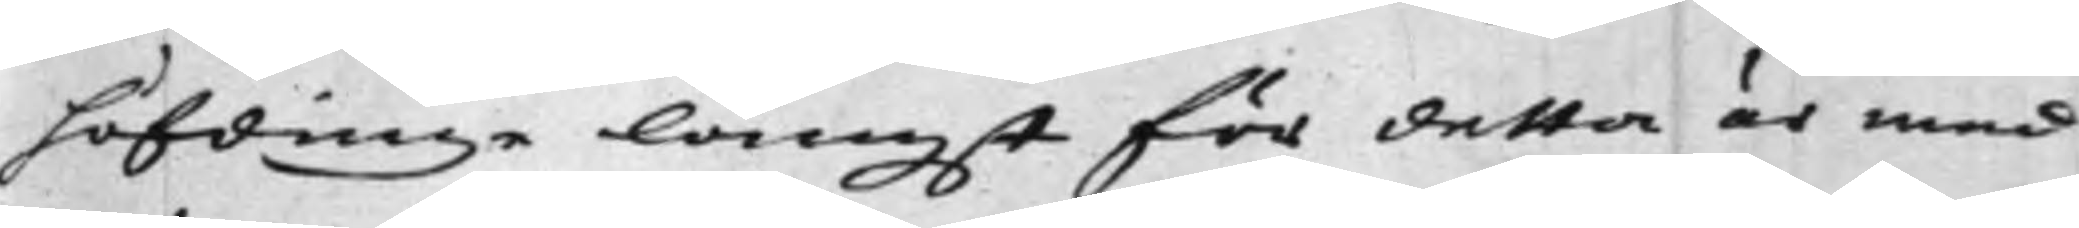höfdinge längst för detta är med
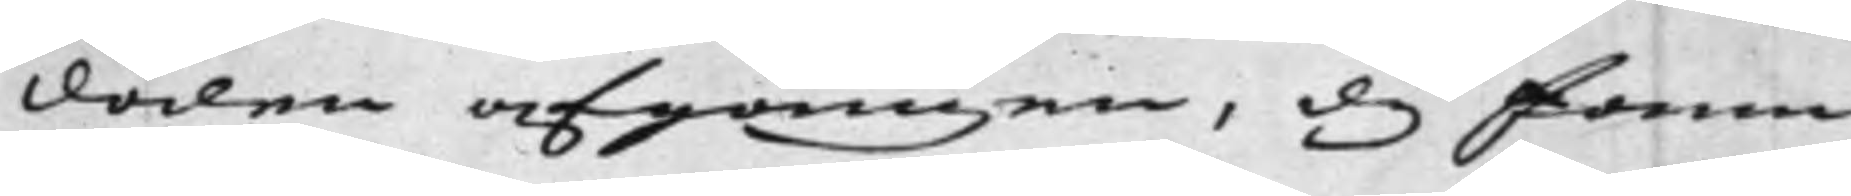Döden afgången, dy fann
